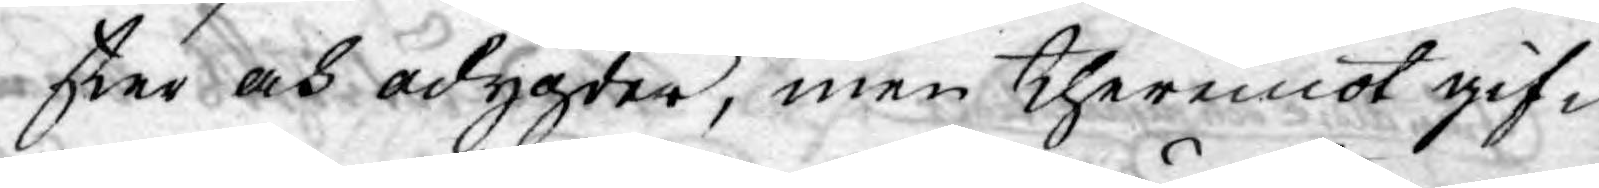ster och odygder, men theremot gif¬
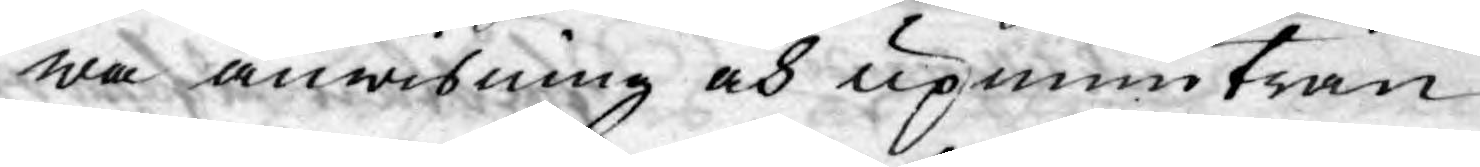wa anwisning och upmuntran
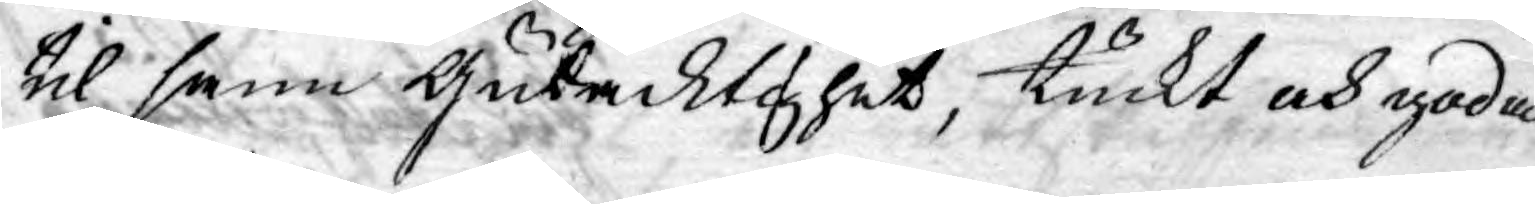til sann Gudacktighet, tuckt och goda
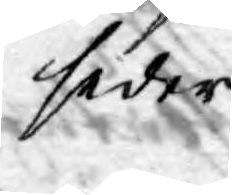seder.
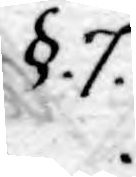§.7.
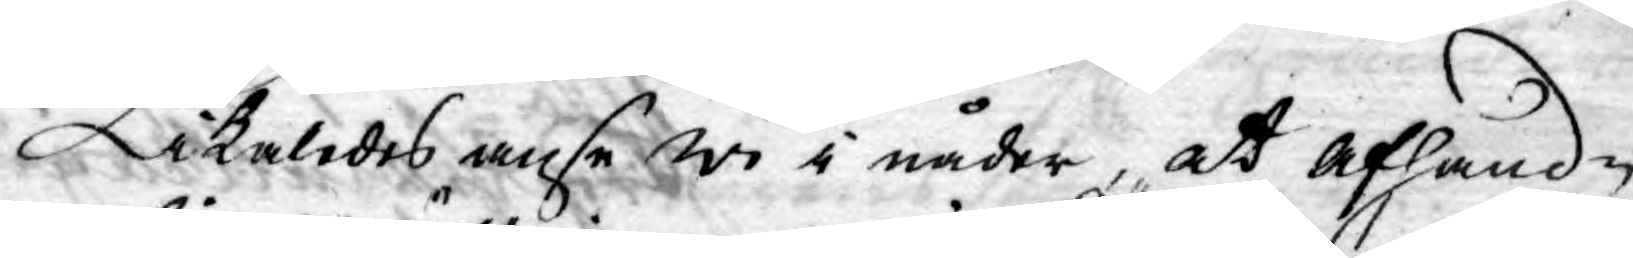Likaledes anse wi i nåder, at afhand¬
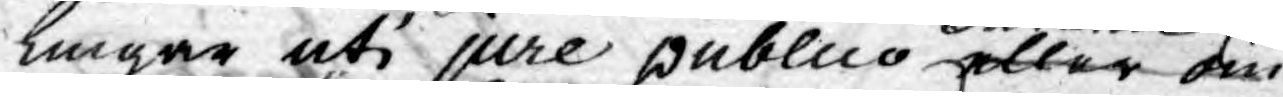lingar uti jure publico eller om
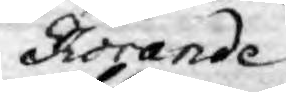Rörande
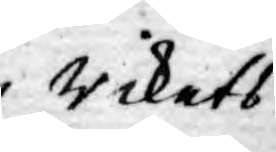Rikets
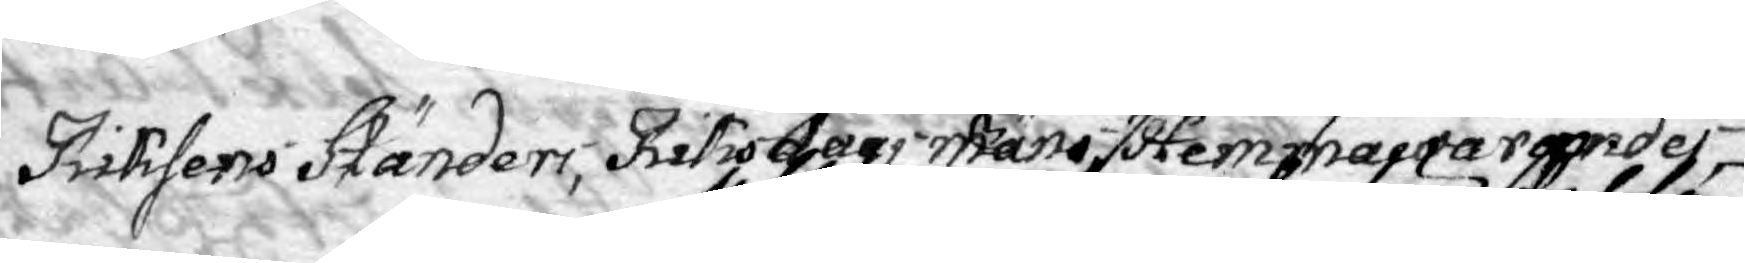Riksens Ständer, Riksdags Mäns Hemmanarender
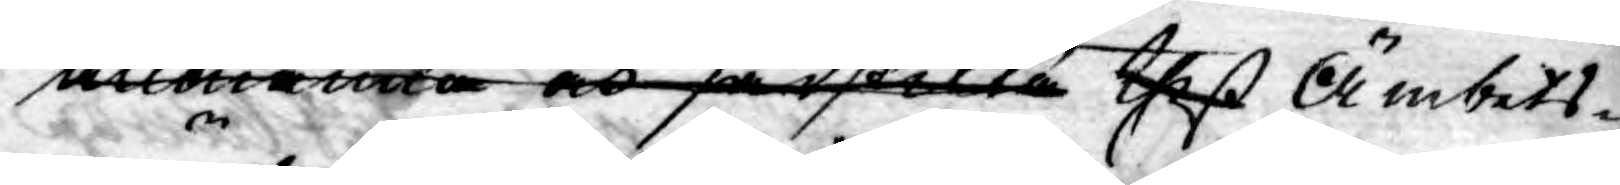allenande och särskilte theß Ämbets¬
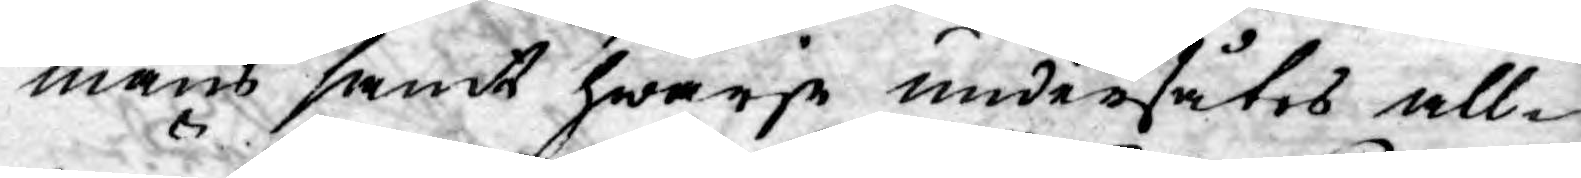mäns samt hwarje undersåtes all¬
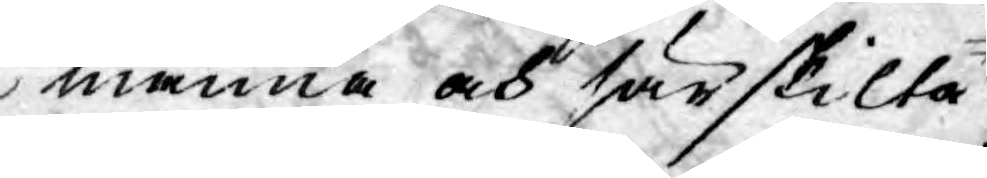männa och särskilta
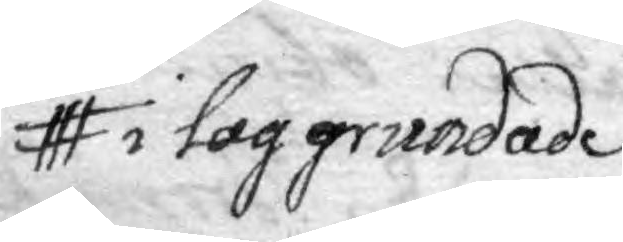i lag grundade
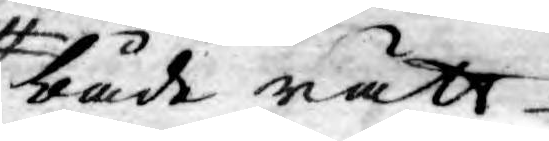både rätt¬
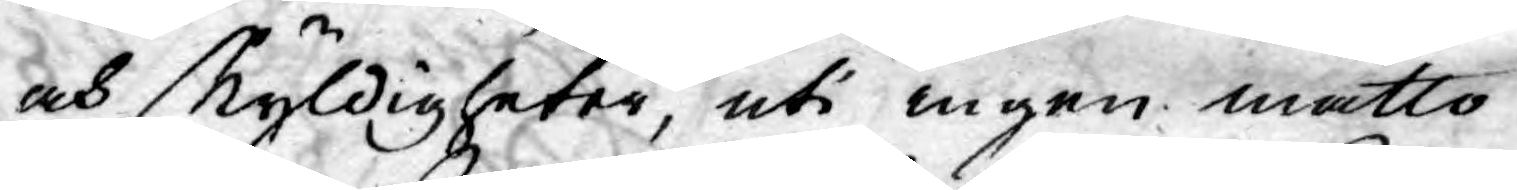och skyldigheter, uti ingen måtto
